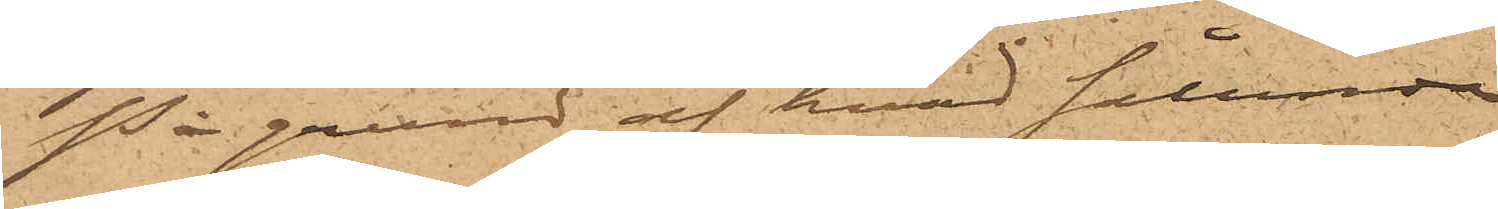På grund af hvad sålunda
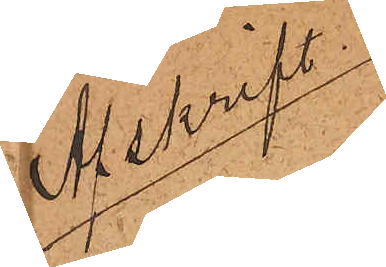Afskrift
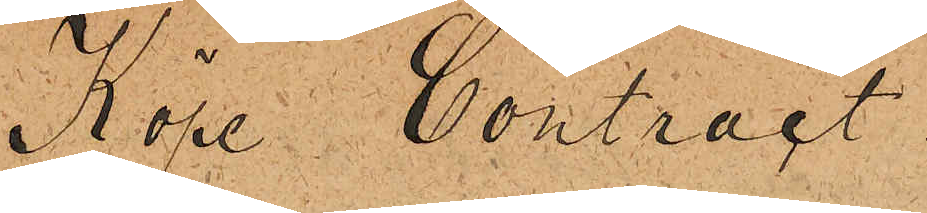Köpe Contract.
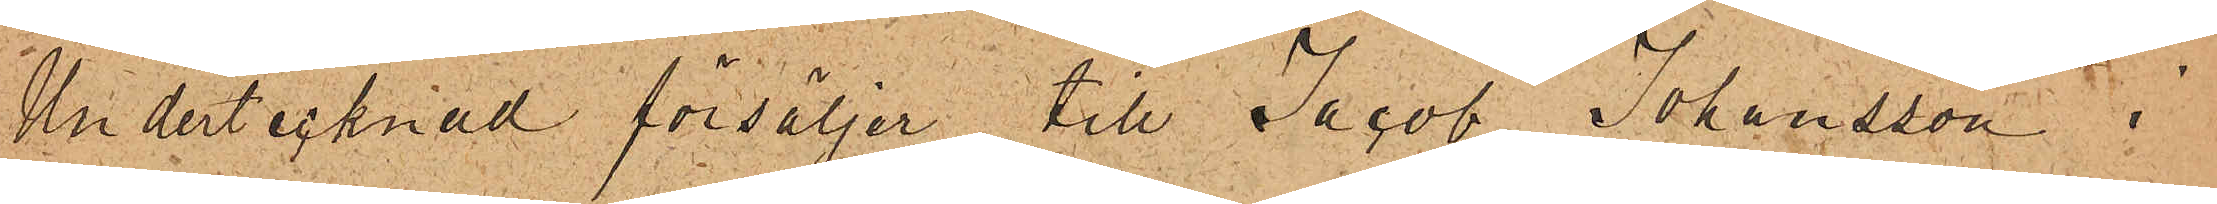Undertecknad försäljer till Jacob Johansson i
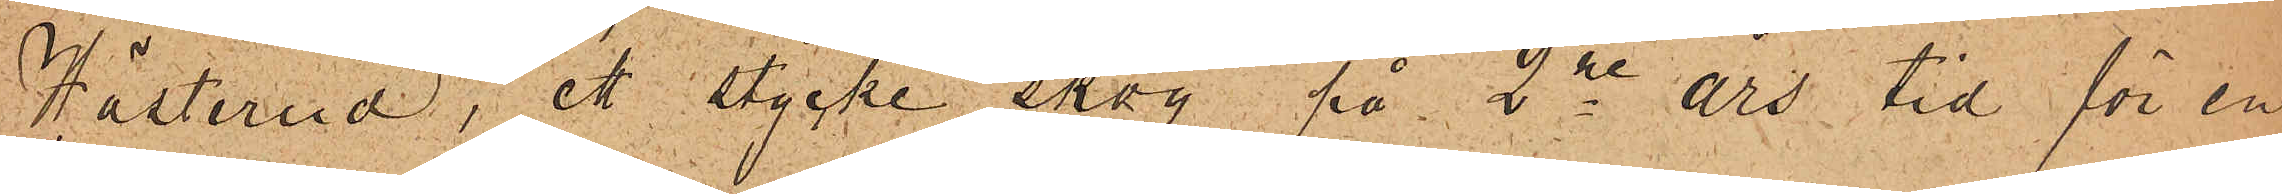Hästerud, ett stycke skog på 2ne års tid för en
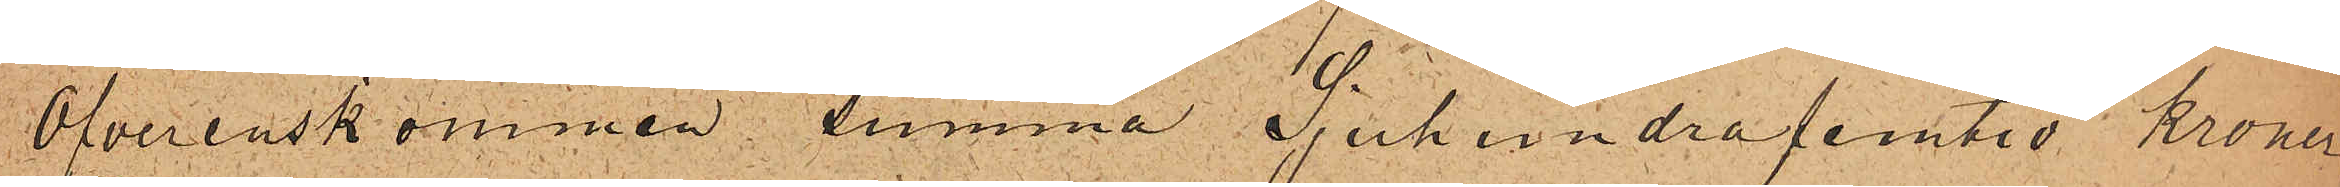Öfverenskommen summa Sjuhundrafemtio Kroner
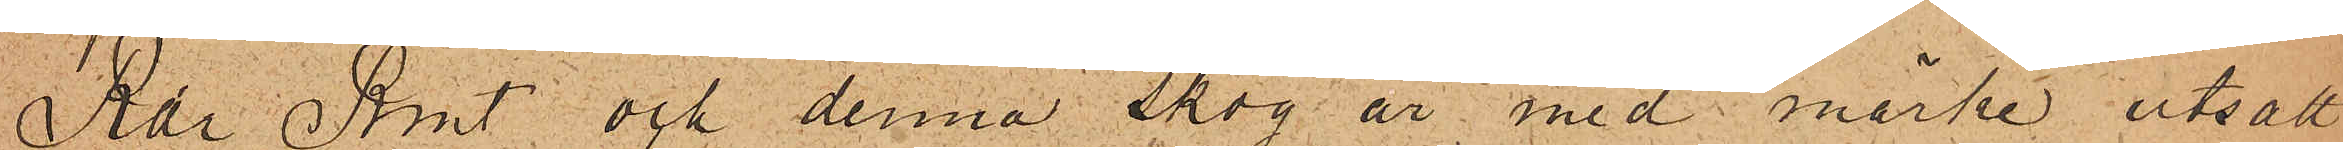Rdr Rmt och denna skog år med märke utsatt
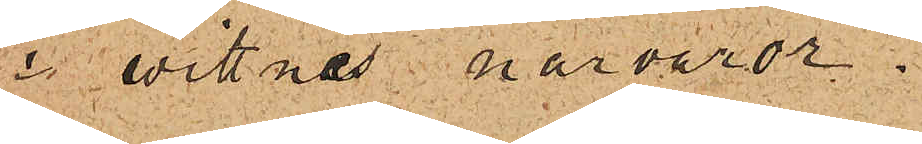i wittnes närvaror.
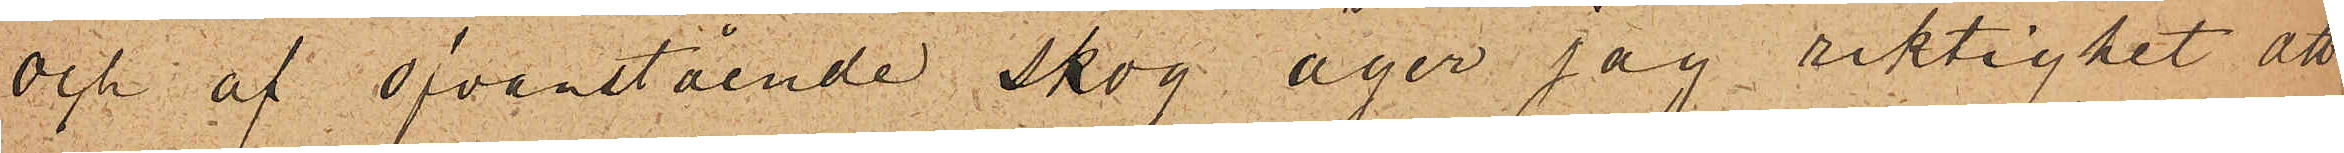Och af ofvanstående skog äger jag riktighet att
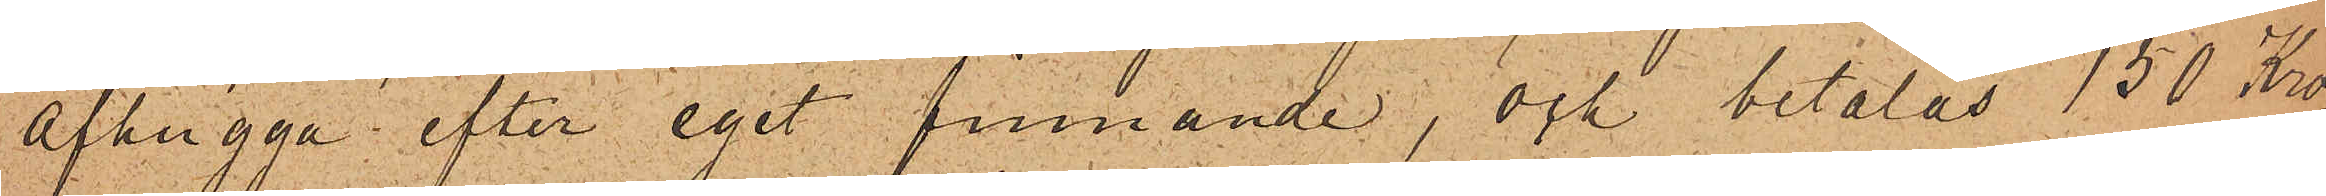afhugga efter eget finnande, och betalas 150 Kro¬
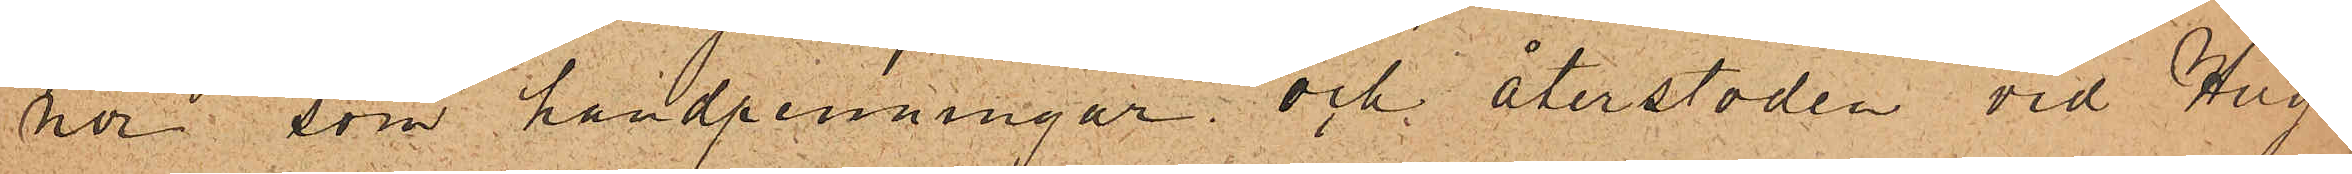nor som handpenningar och återstoden vid Hug¬
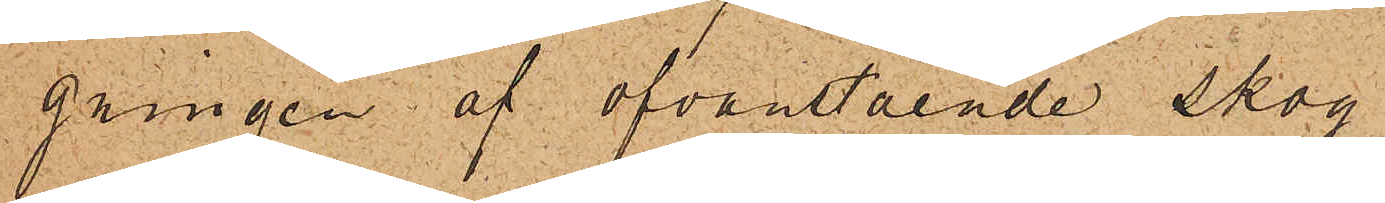gningen af ofvanstående skog.
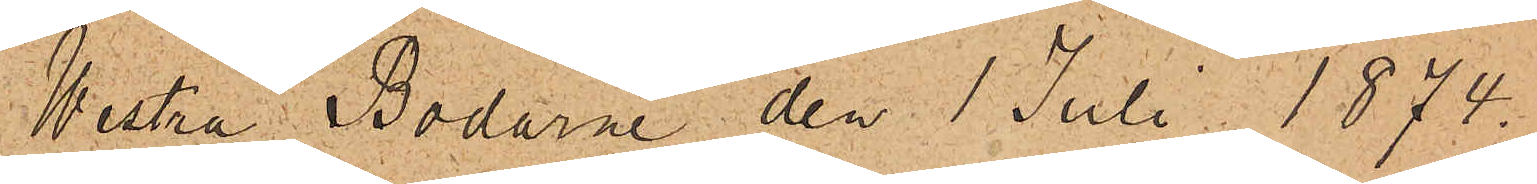Westra Bodarne den 1 Juli 1874.
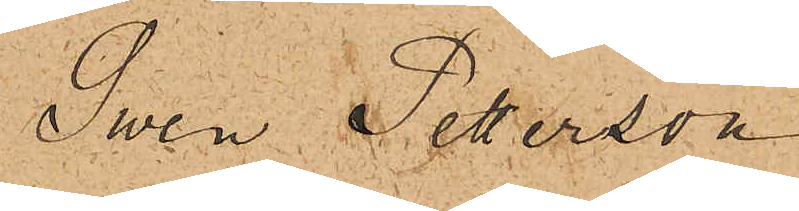Sven Peterson
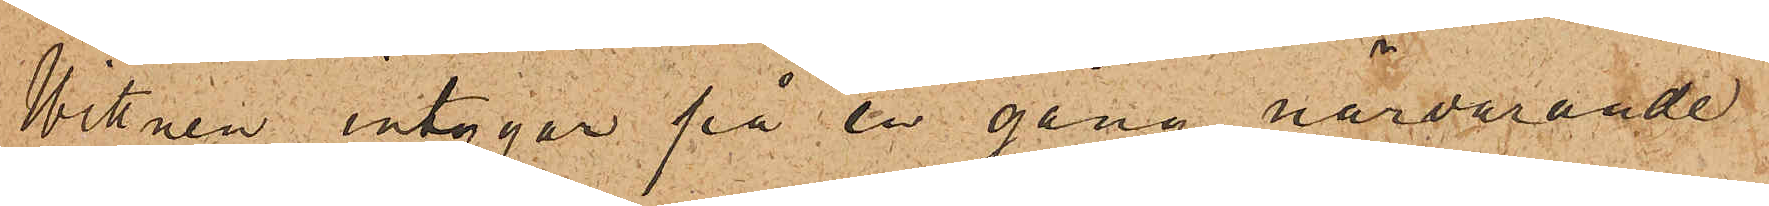Witnen intygar på en gång närvarande
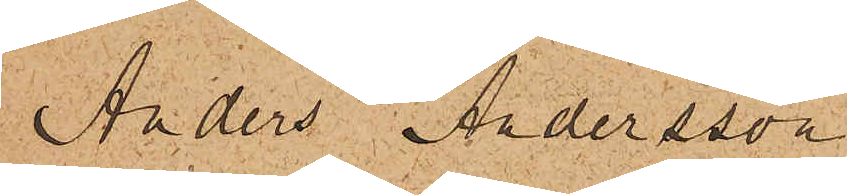Anders Andersson
